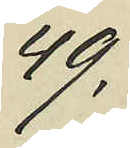49.
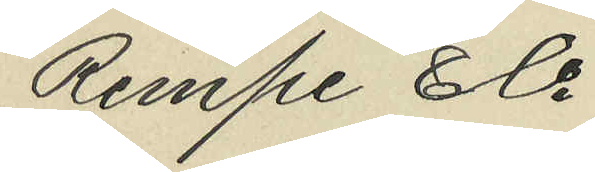Rempe & Co
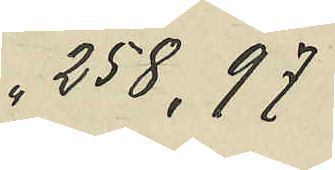258,97
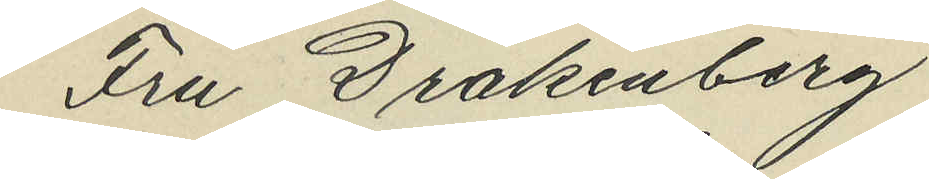Fru Drakenberg
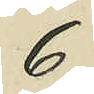6
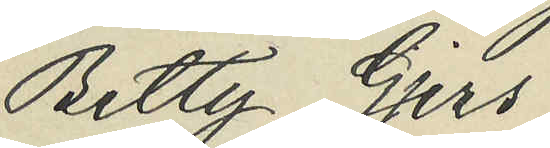Betty Gjers
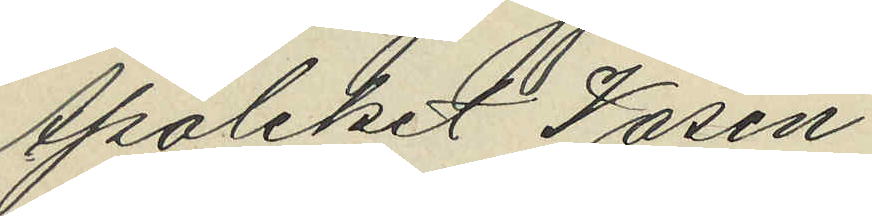Apoteket Vasen
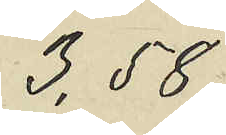3,58
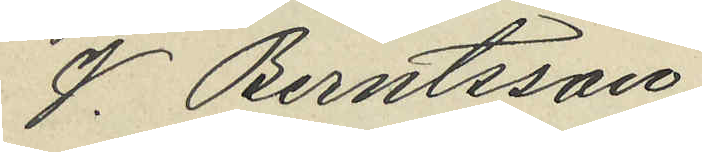J Berntsson
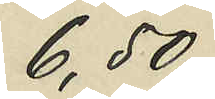6,50
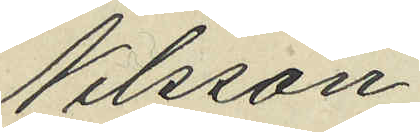Nilsson
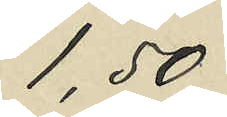1,50
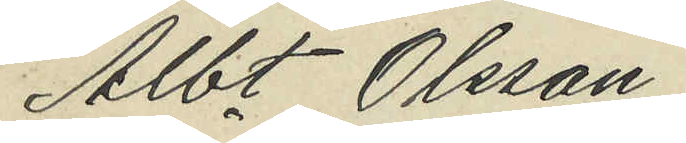Albt Olsson
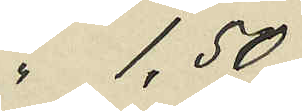" 1,50
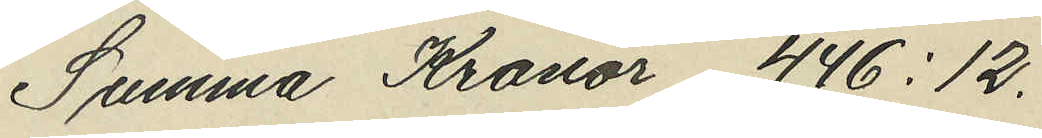Summa Kronor 446:12.
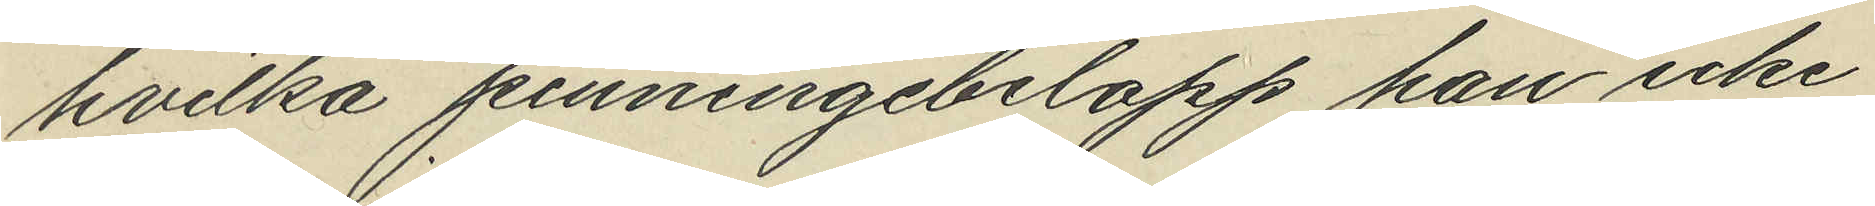hvilka penningebelopp han icke
